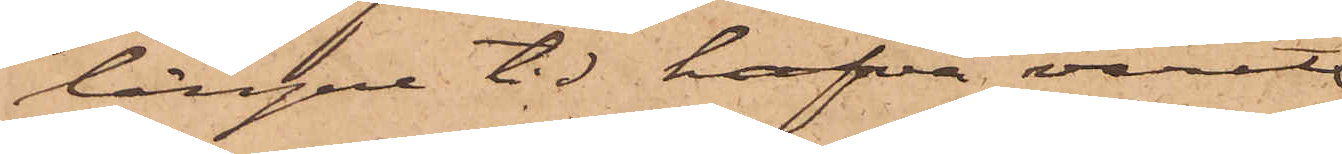längre tid hafva varit
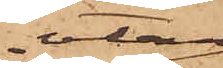utan
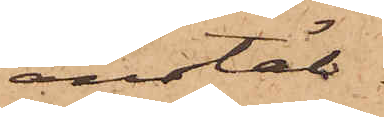anstäl¬
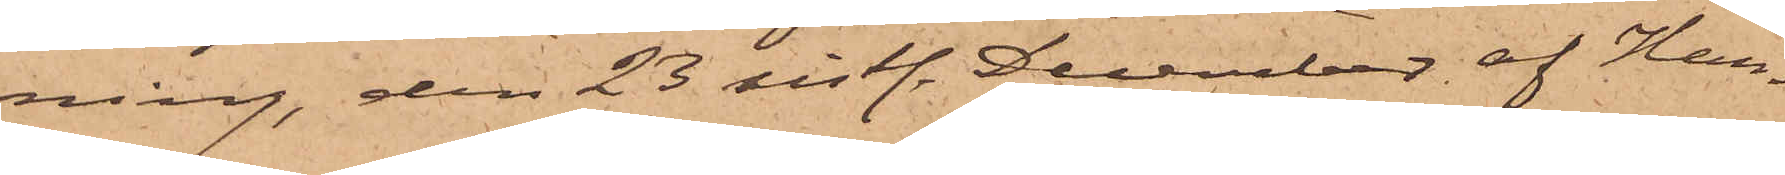ning, den 23 sistl. December af Han¬
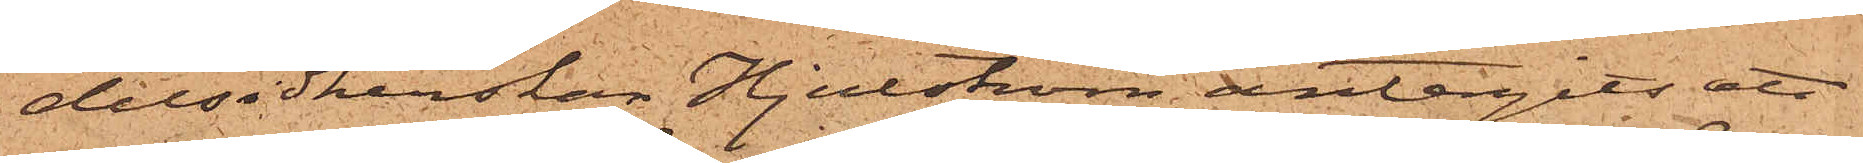delsidkerskan Hjulström antagits att
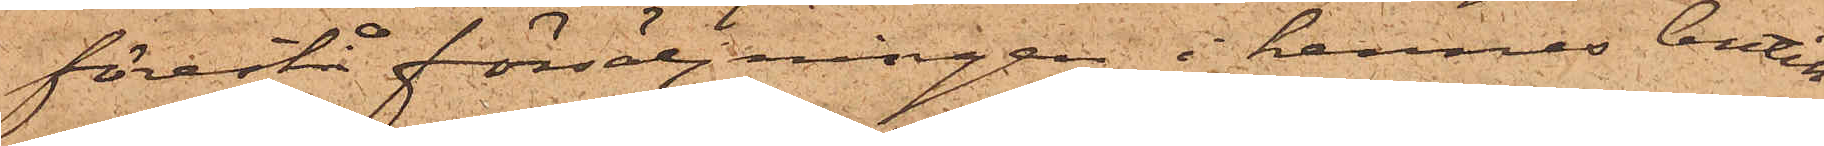förestå försäljningen i hennes butik
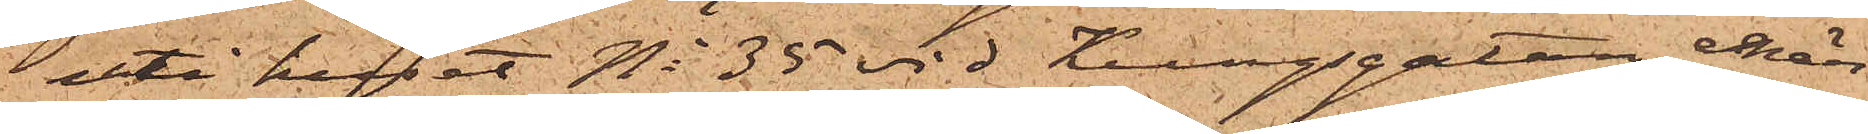uti huset No 35 vid Kungsgatan, enär
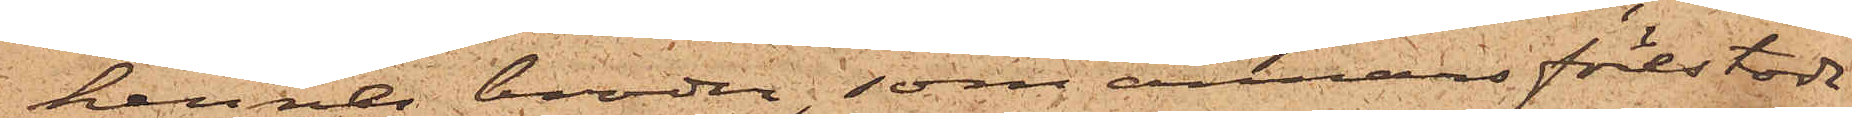hennes broder, som annars förestodt
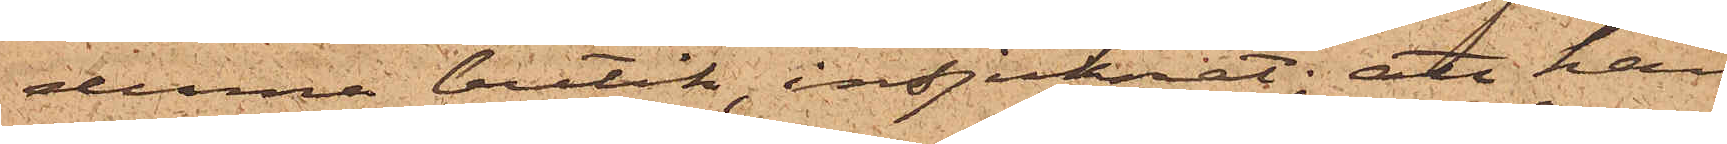denna butik, insjuknat; att han
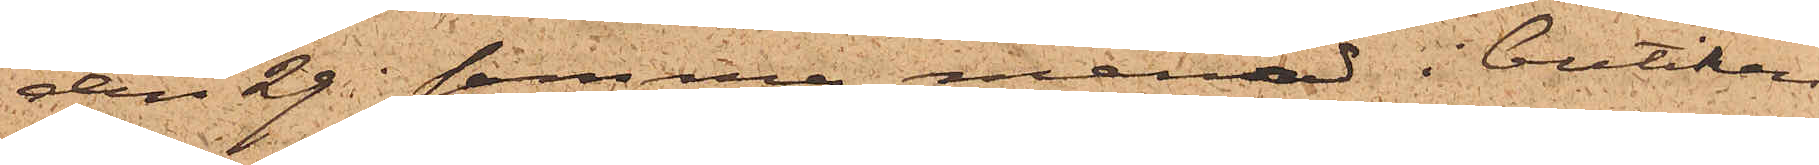den 29 i samma månad i butiken
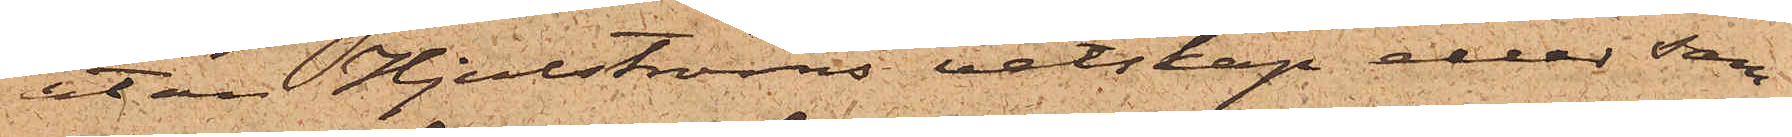utan Hjulströms vetskap eller sam¬
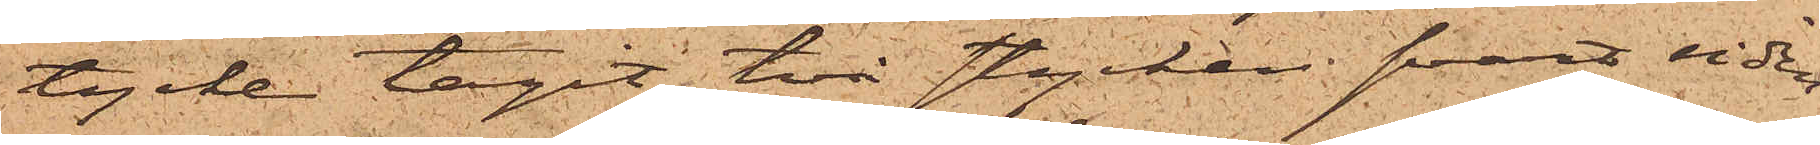tycke tagit två stycken svart siden¬
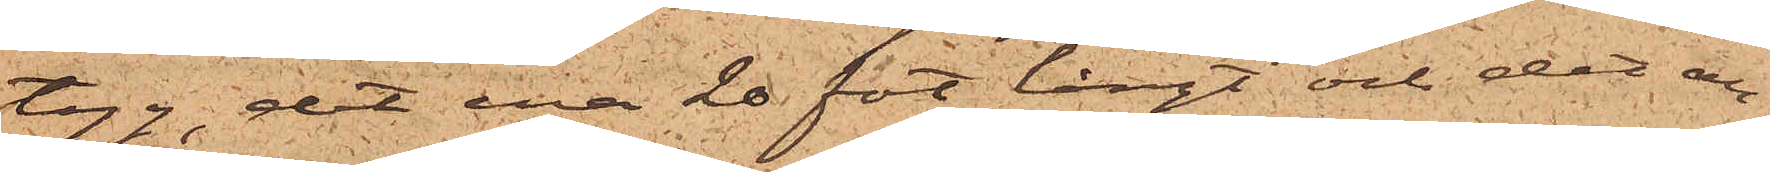tyg, det ena 20 fot långt och det an¬
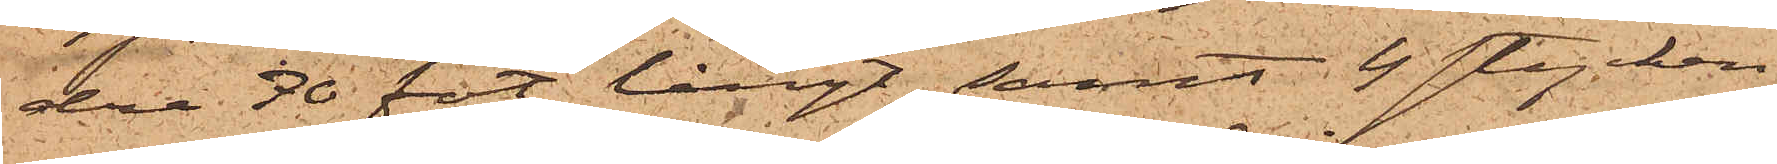dra 30 fot långt, samt 4 stycken
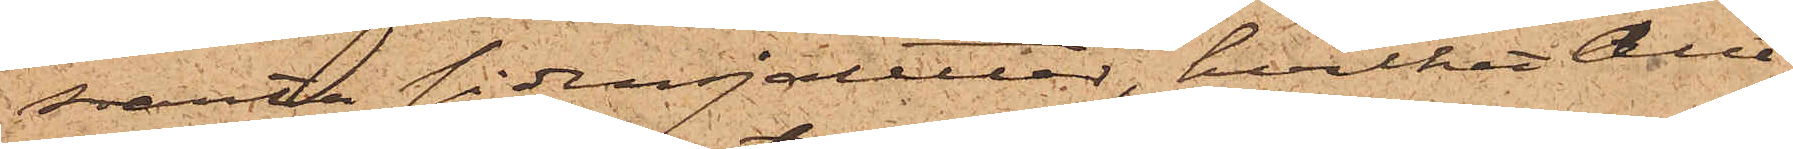svarta sidensjaletter, hvilket allt
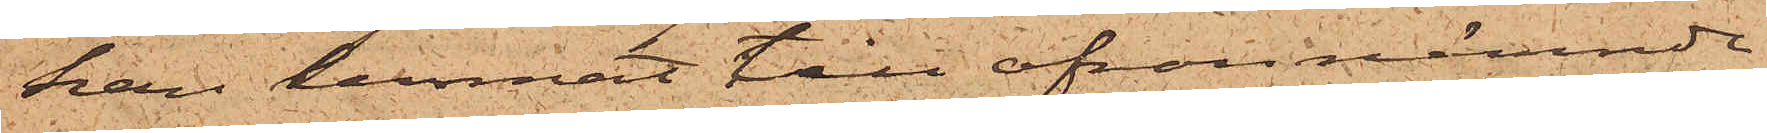han lemnat till ofvannämnde
